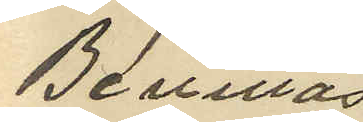Bevittnas
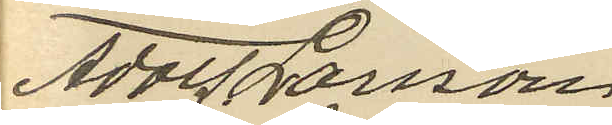Adolf Larsson
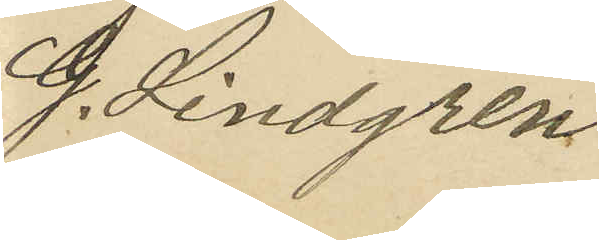G. Lindgren
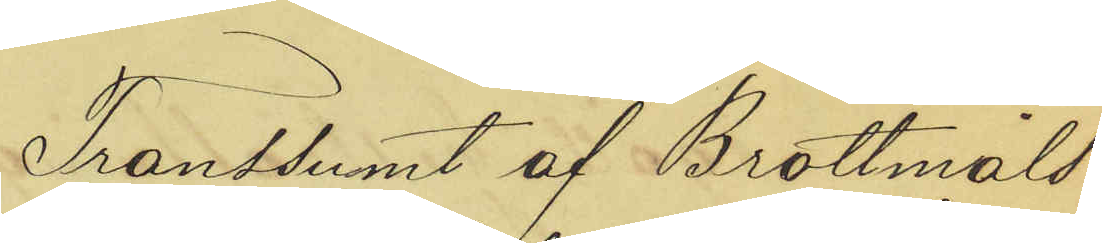Transsumt af Brottsmåls¬
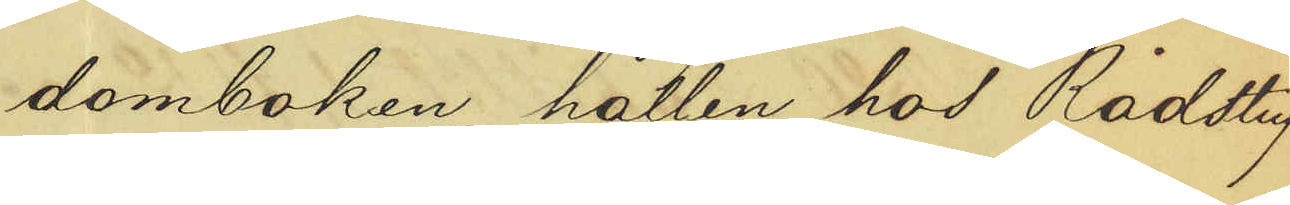domboken, hållen hos Rådstuf¬
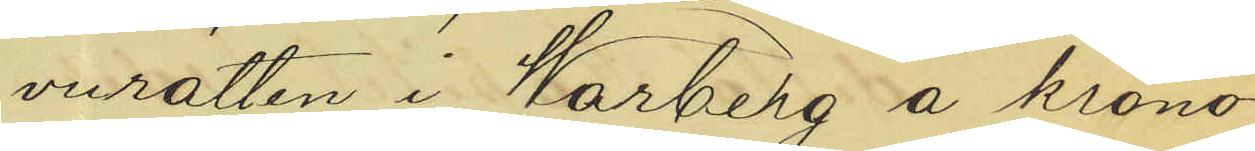vurätten i Warberg å krono¬
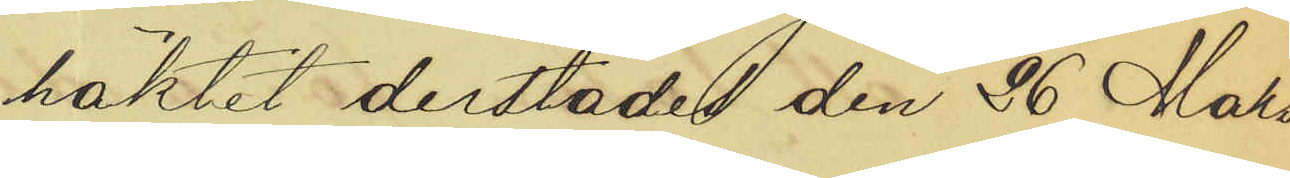häktet derstädes den 26 Mars
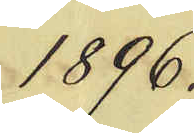1896.
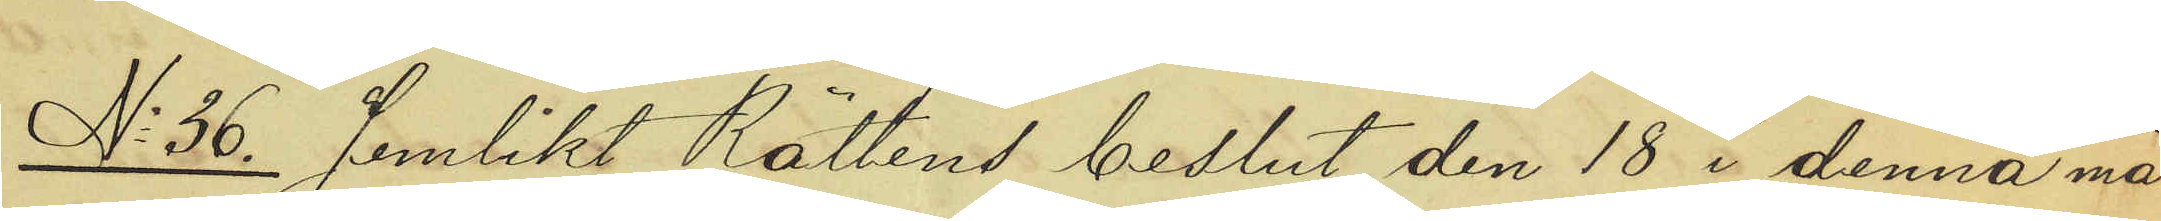No 36. Jemlikt Rättens beslut den 18 i denna må¬
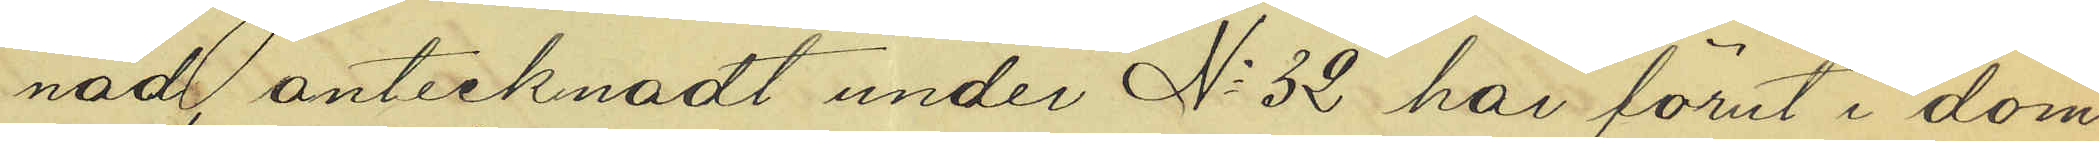nad antecknadt under No 32 här förut i dom¬
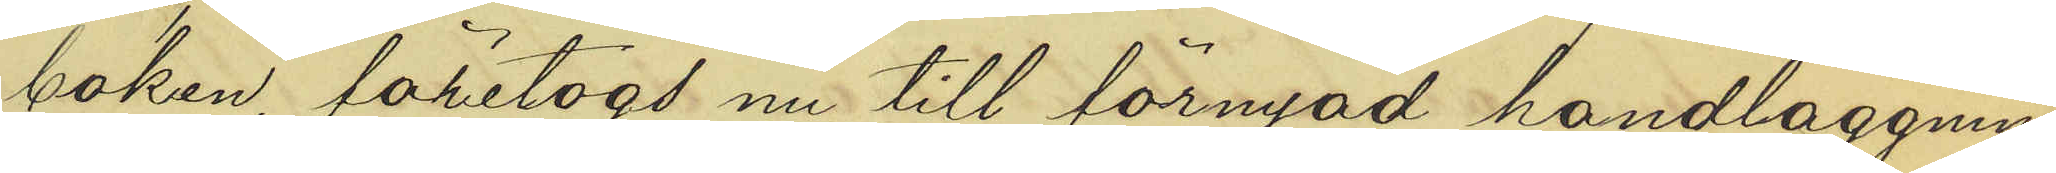boken, företogs nu till förnyad handläggning
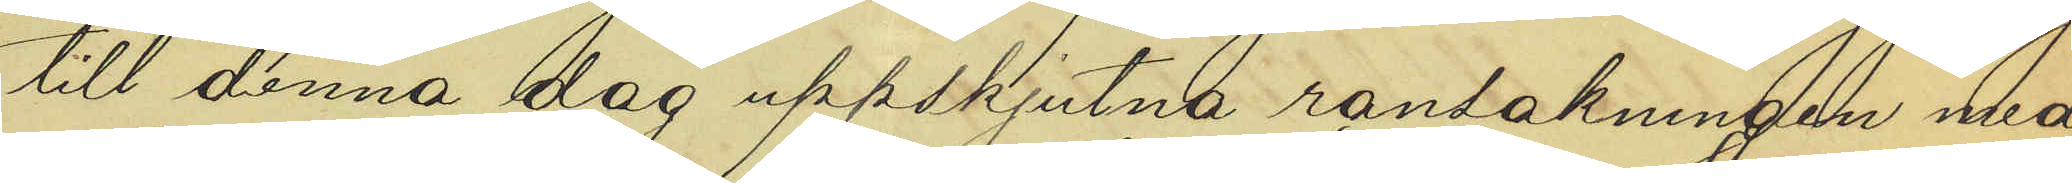till denna dag uppskjutna ransakningen med
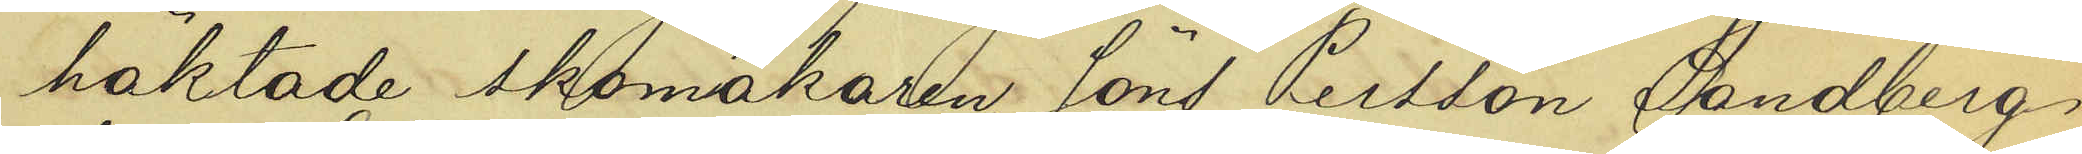häktade skomakaren Jöns Persson Sandberg
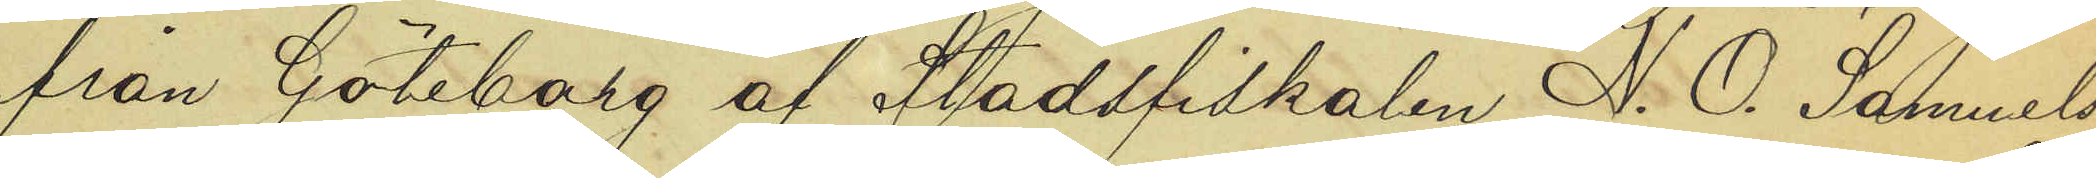från Göteborg af Stadsfiskalen N. O. Samuels¬
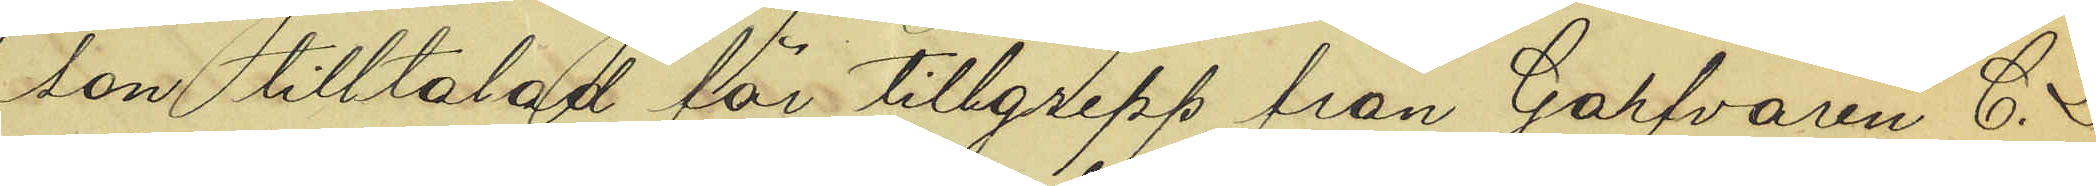son tilltalad för tillgrepp från Garfvaren C. L.
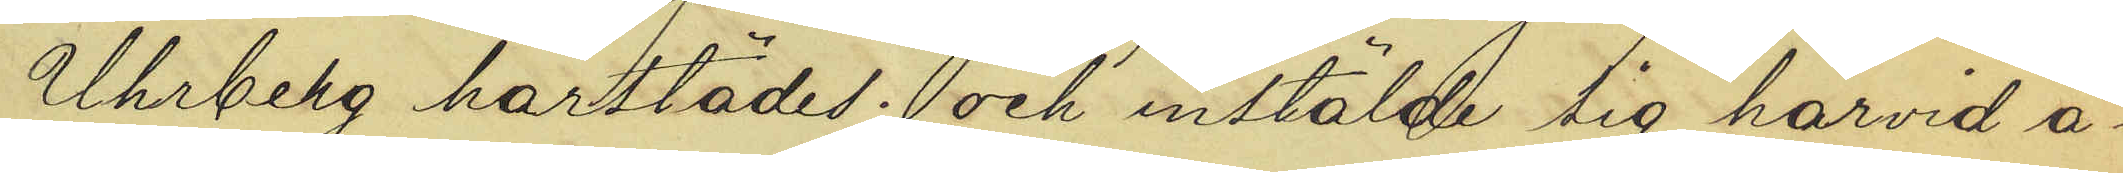Uhrberg härstädes; och instälde sig härvid å¬
